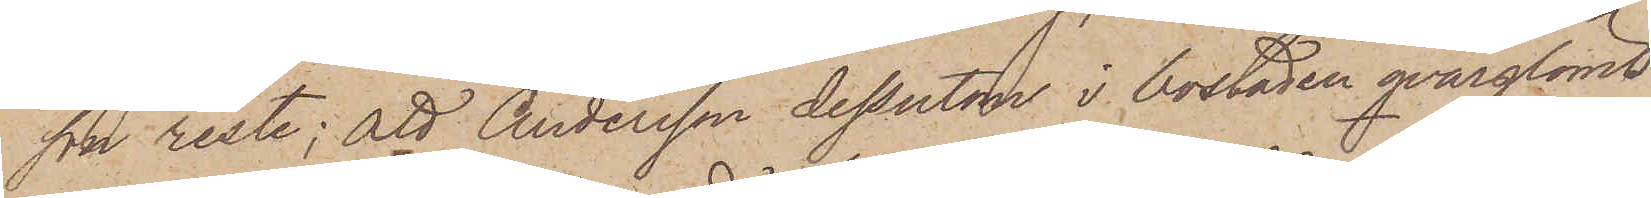son reste; att Andersson dessutom i bostaden qvarglömt
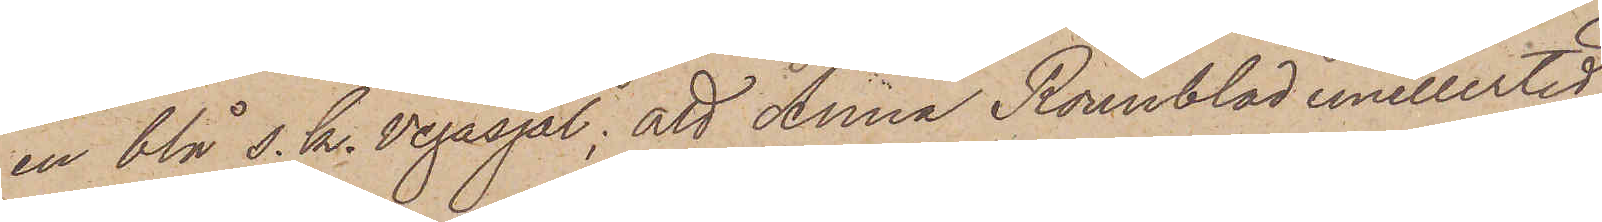en blå s. k. Vegasjal; att Anna Rönnblad emellertid
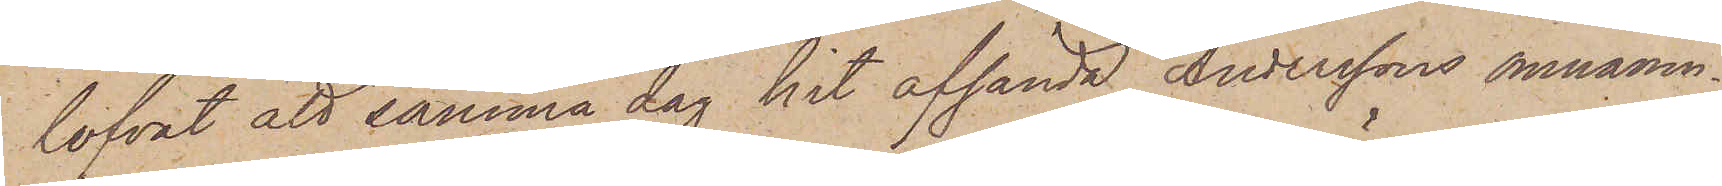lofvat att samma dag hit afsända Anderssons omnämn¬
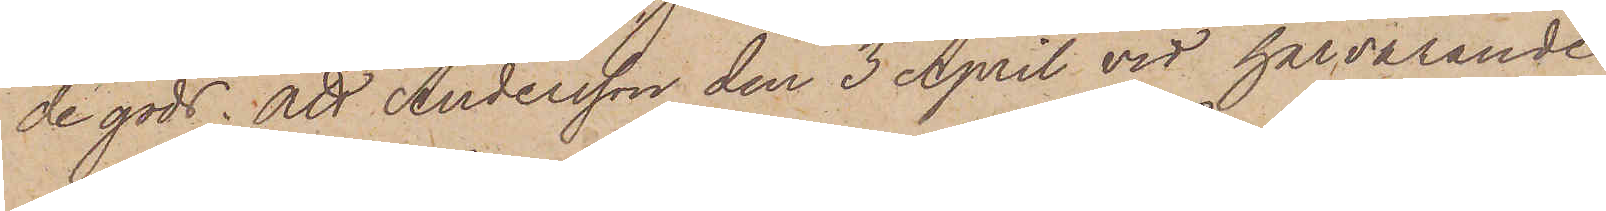de gods; att Andersson den 3 April vid härvarande
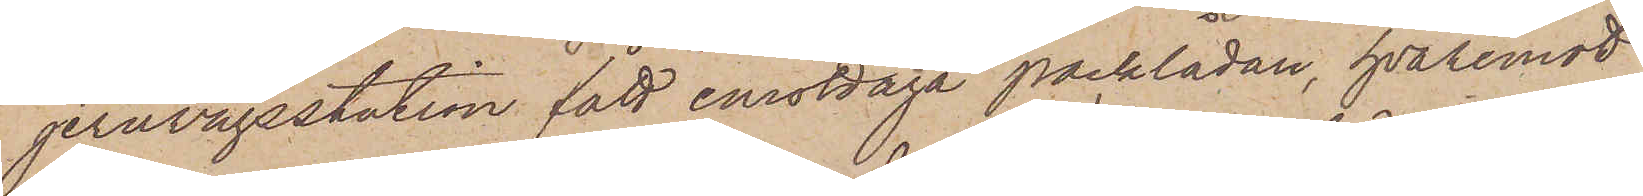jernvägsstation fått emottaga packlådan, hvaremot
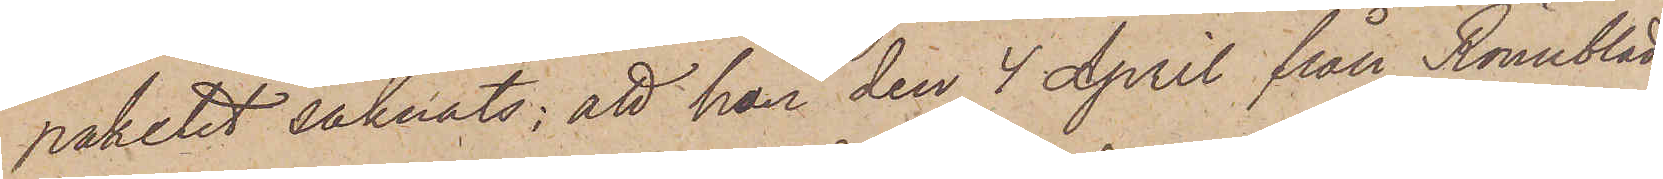paketet saknats; att hon den 4 April från Rönnblad
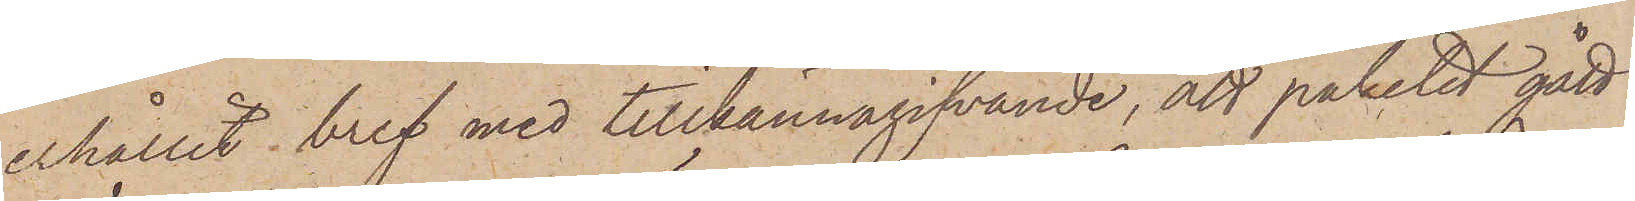erhållit bref med tillkännagifvande, att paketet gått
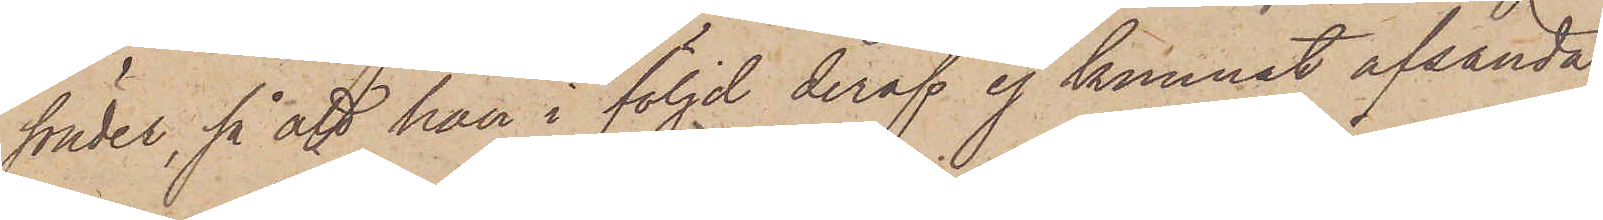sönder, så att hon i följd deraf ej kunnat afsända
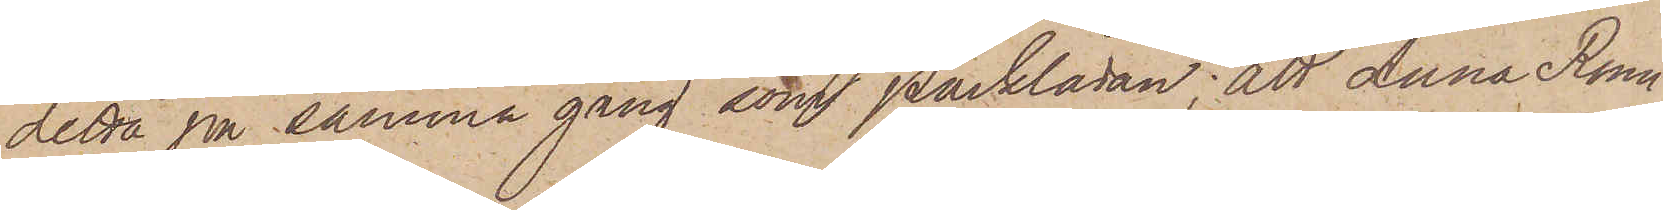detta på samma gång som packlådan; att Anna Rönn¬
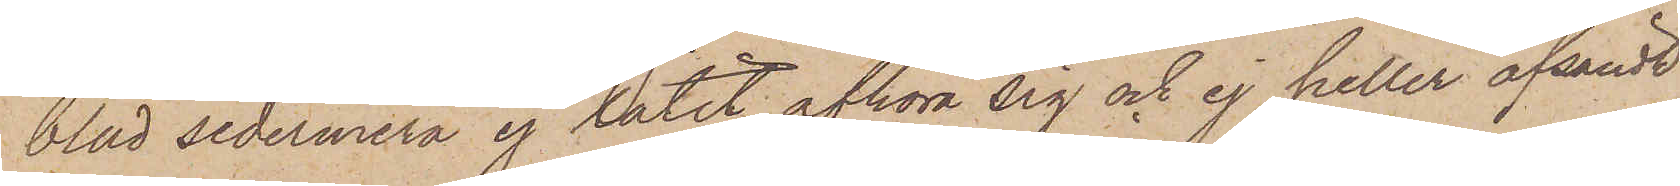blad sedermera ej låtit afhöra sig och ej heller afsändt
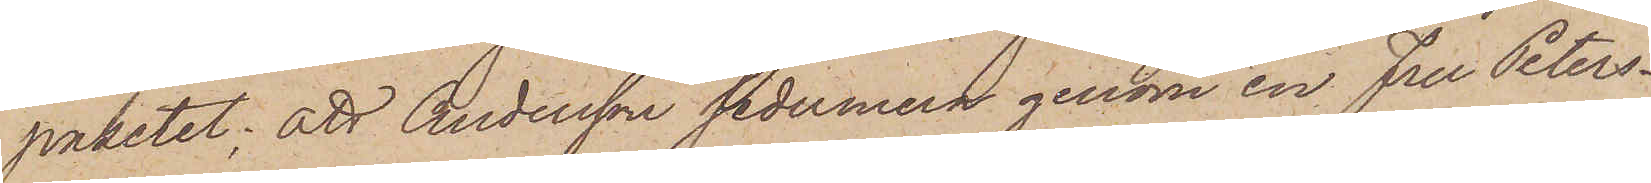paketet; att Andersson sedermera genom en fru Peters¬
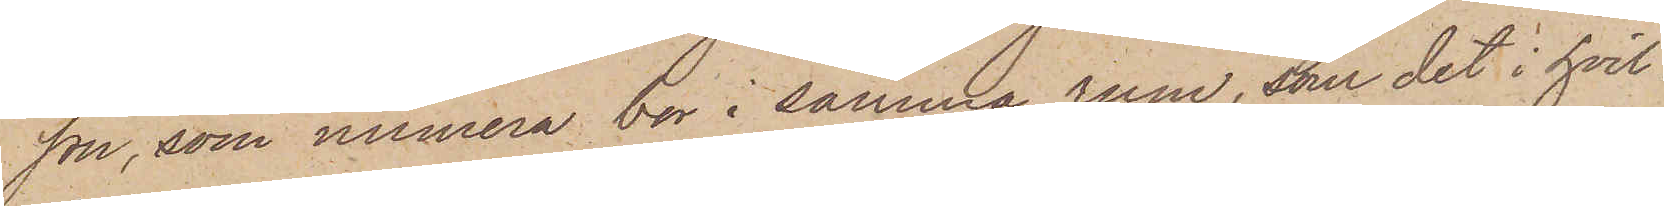son, som numera bor i samma rum, som det i hvil¬
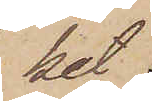ket
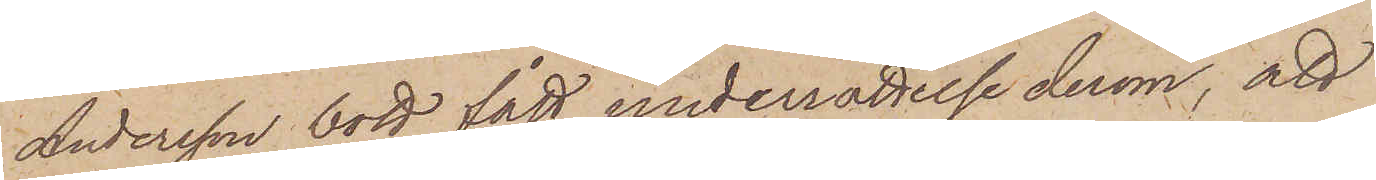Andersson bott, fått underrättelse derom, att
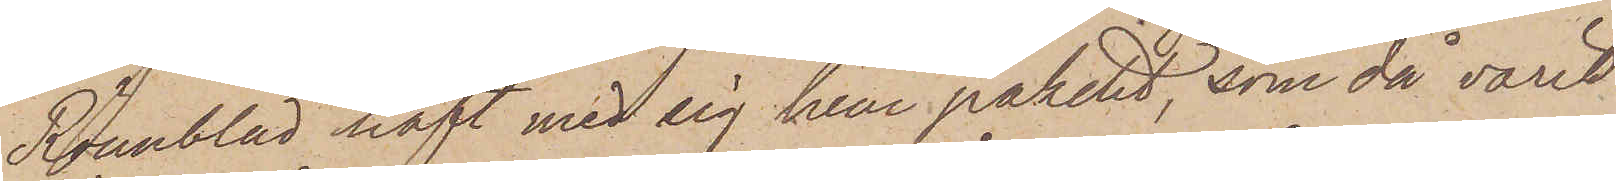Rönnblad haft med sig hem paketet, som då varit
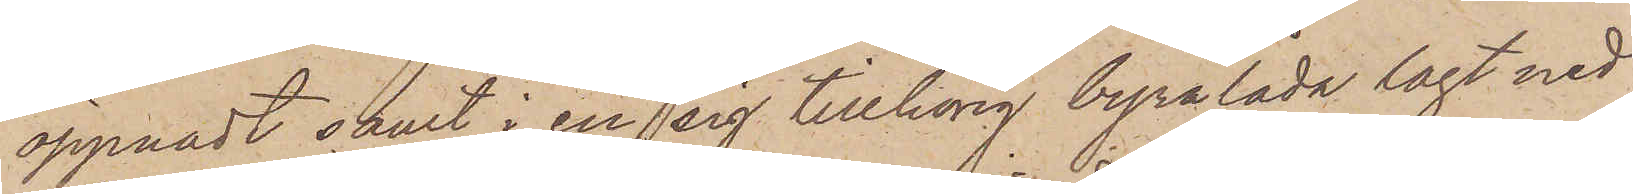öppnadt samt i en sig tillhörig byrålåda lagt ned
